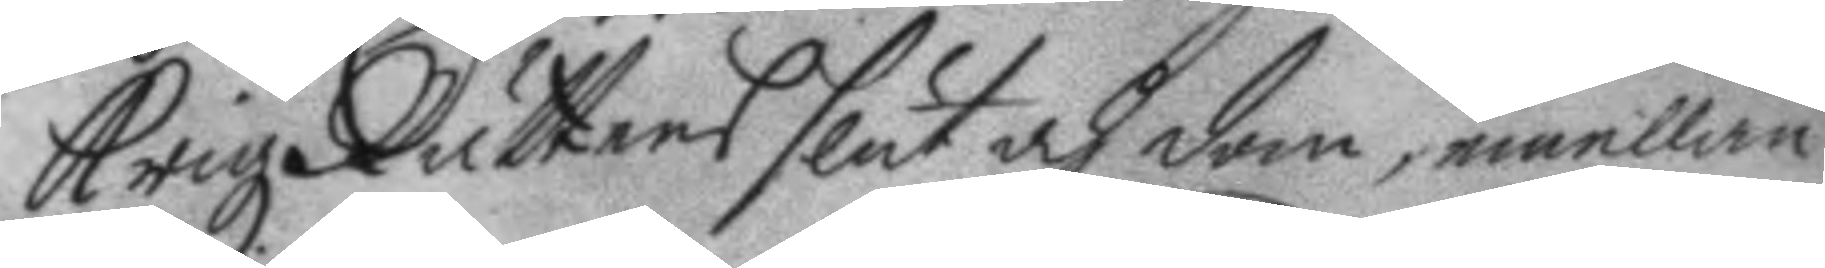Krigz Rättens slut och dom, emellan
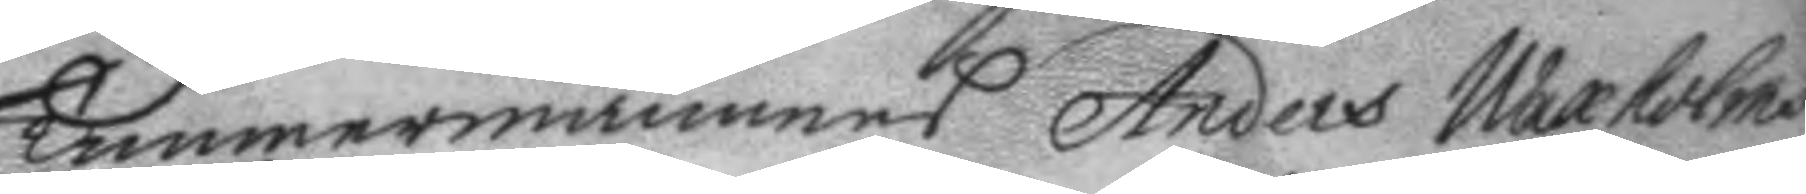Timmermannens Anders Waxholms
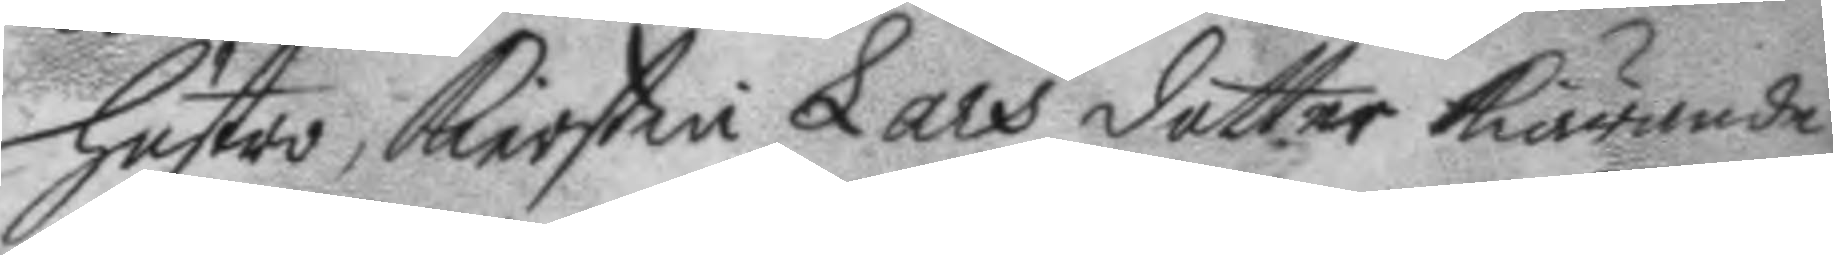hustro, Kierstin Lars dotter kiärande,
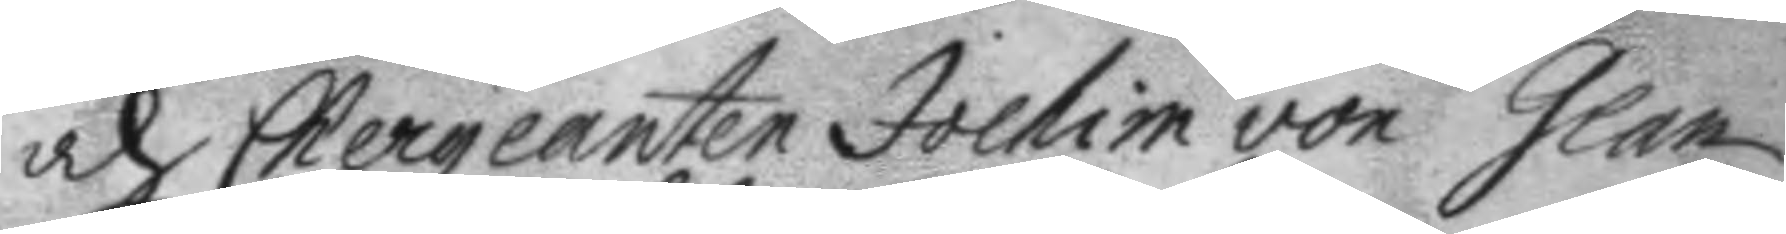och Chergeanten Jochim von Glan
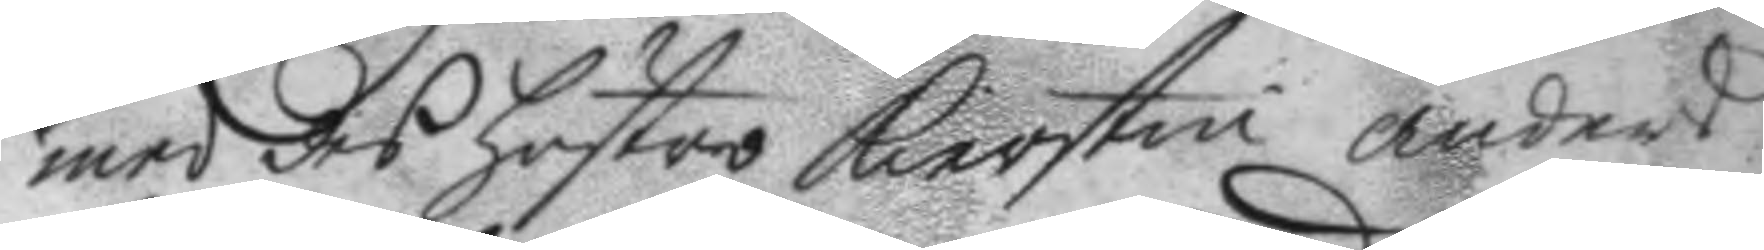med des hustro Kierstin anders
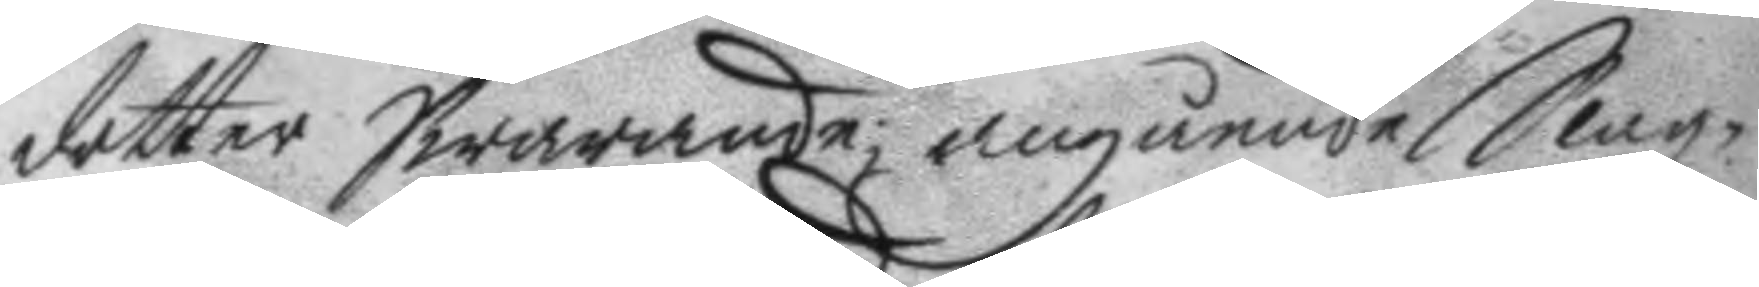dotter Swarande; angående Slagz¬
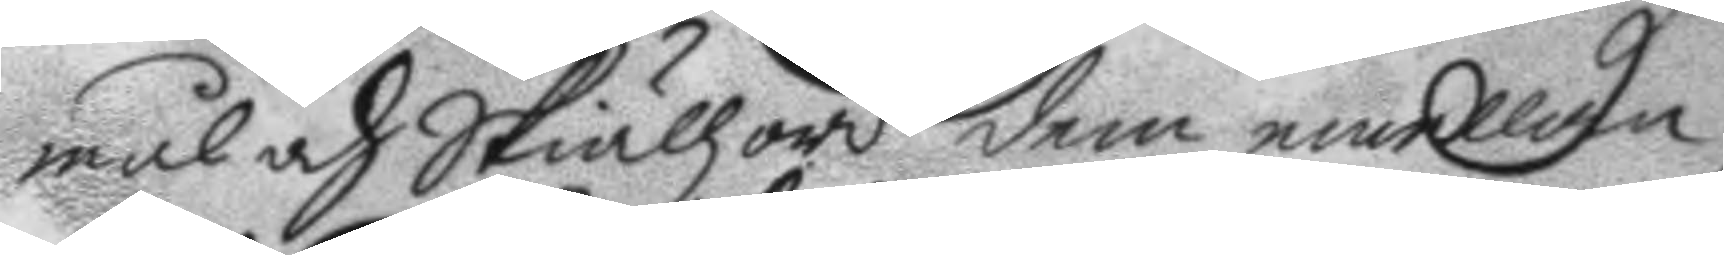mål och Skiällzord dem emellan
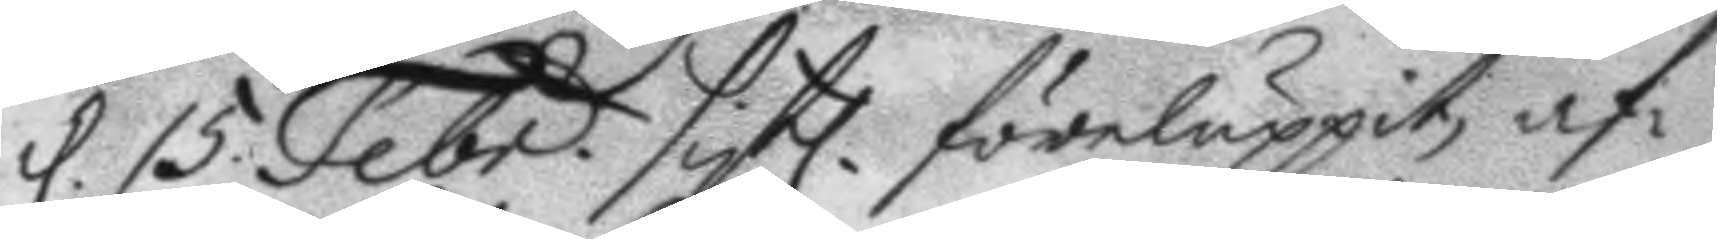d. 15 Febr. sistl. föreluppit, af¬
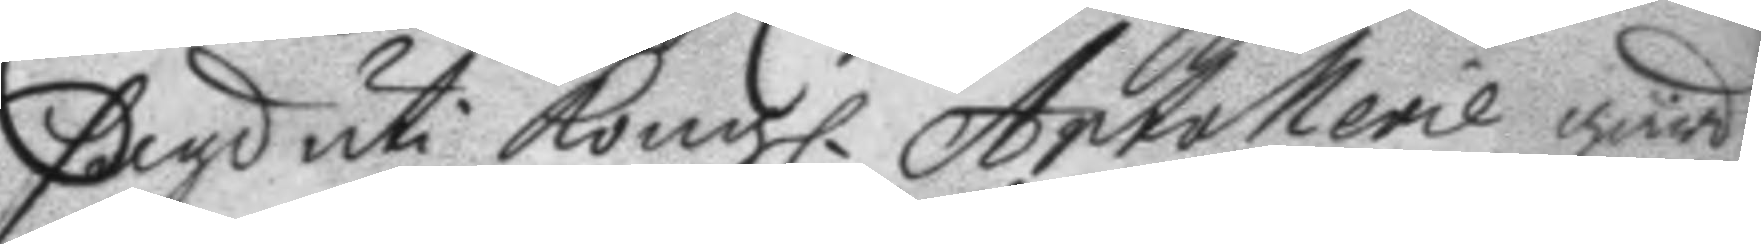sagd uti Kongl. Artollerie går¬
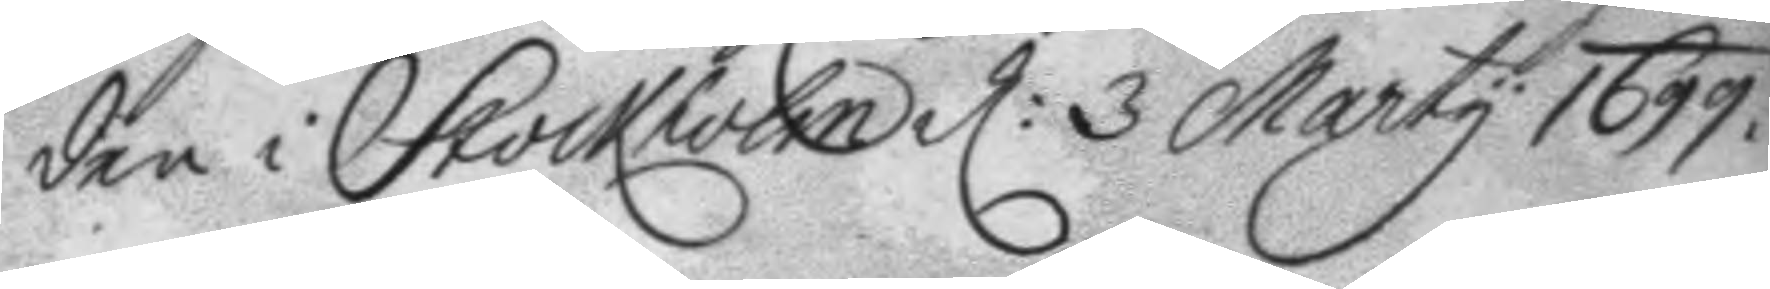den i Stockholm d: 3 Marty 1699.
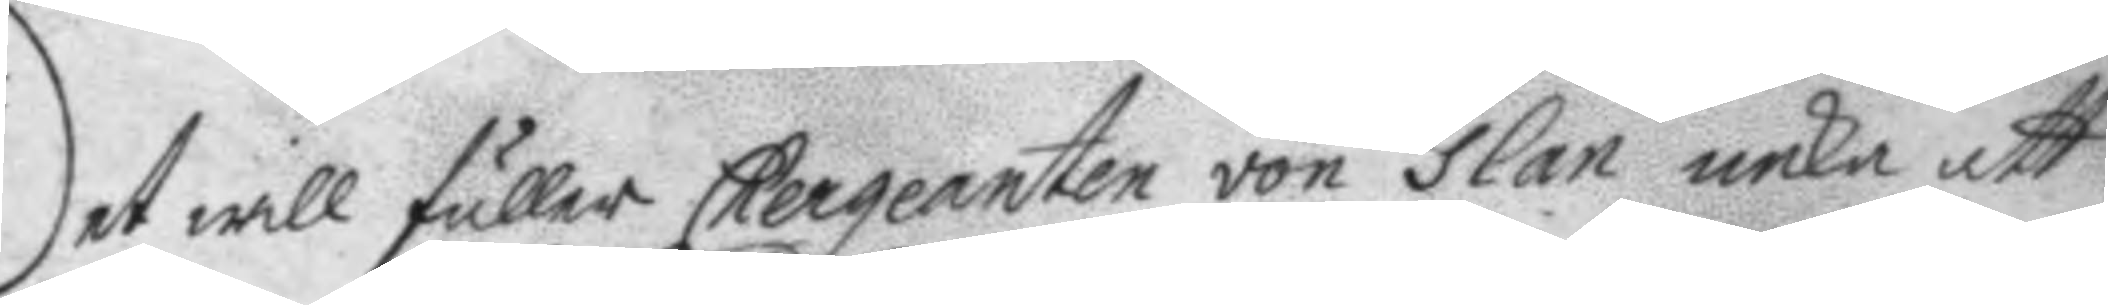Det will fuller Chergeanten von Glan neka att
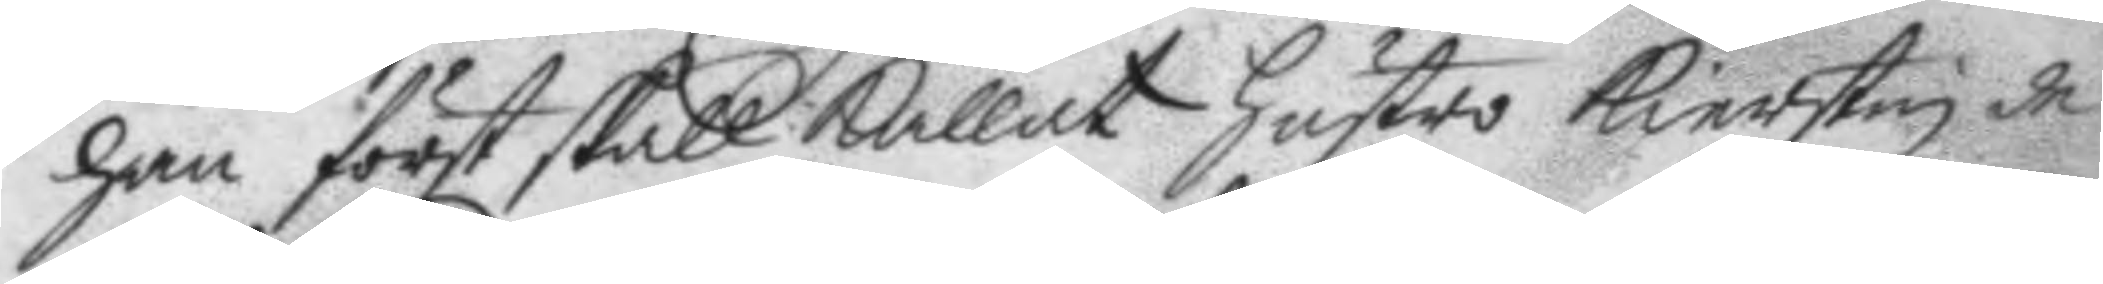han först skall kallat hustro Kierstin de
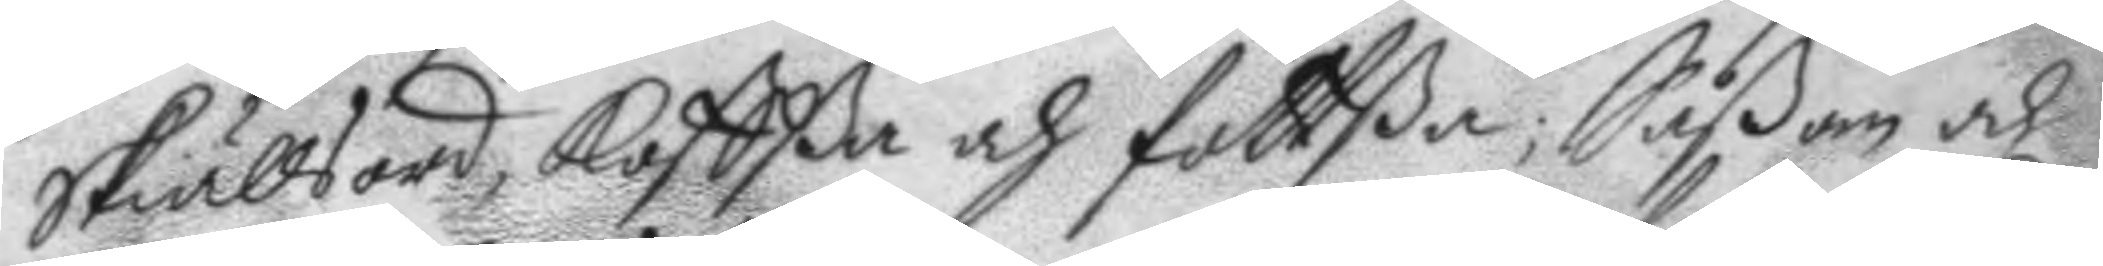Skiällsord Koffßa och fottßa; Såßom och
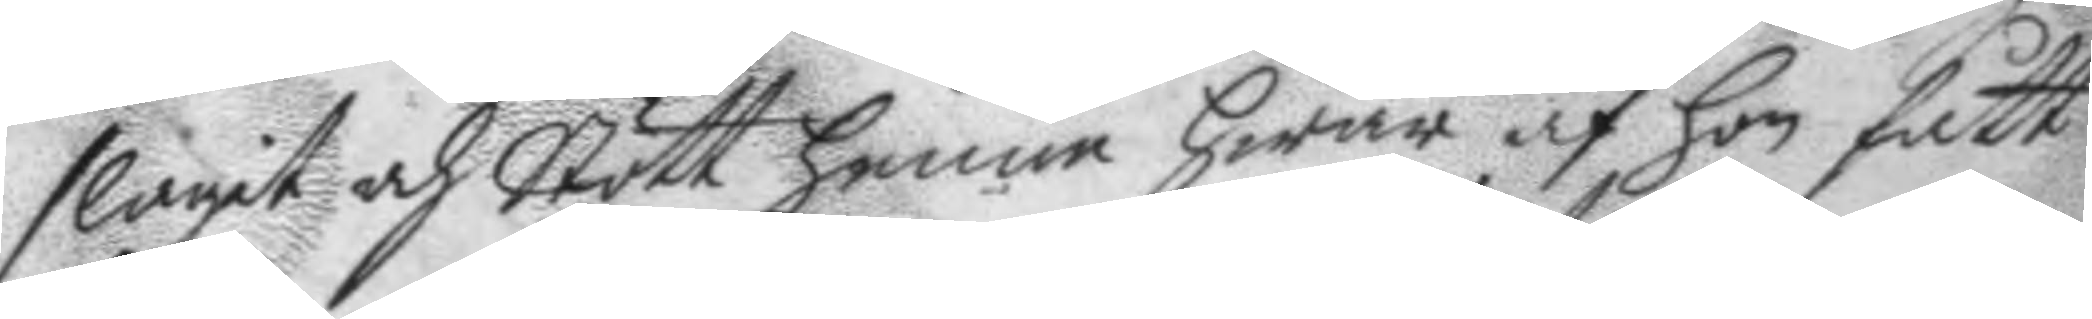slagit och stött honom hwar af hon fått
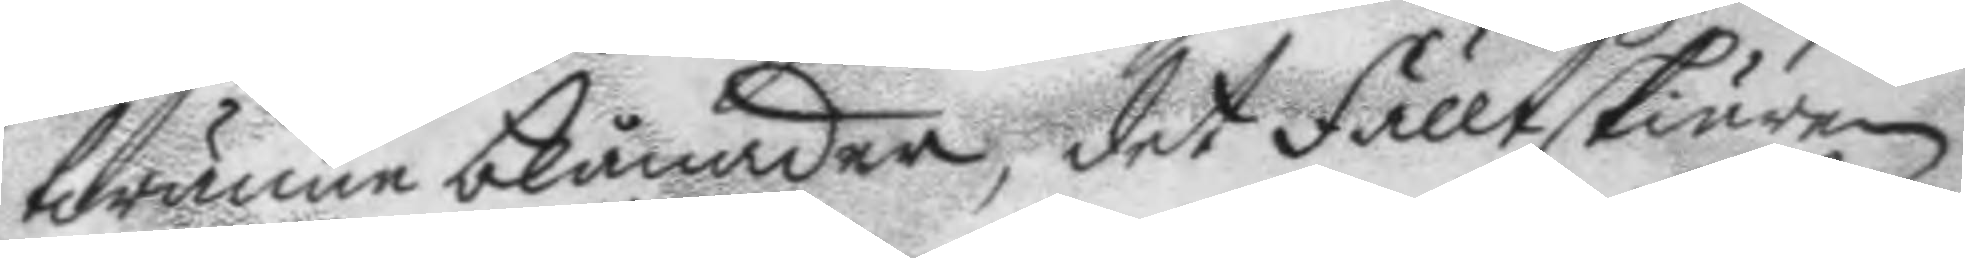twänne blånader, det fälltskiären
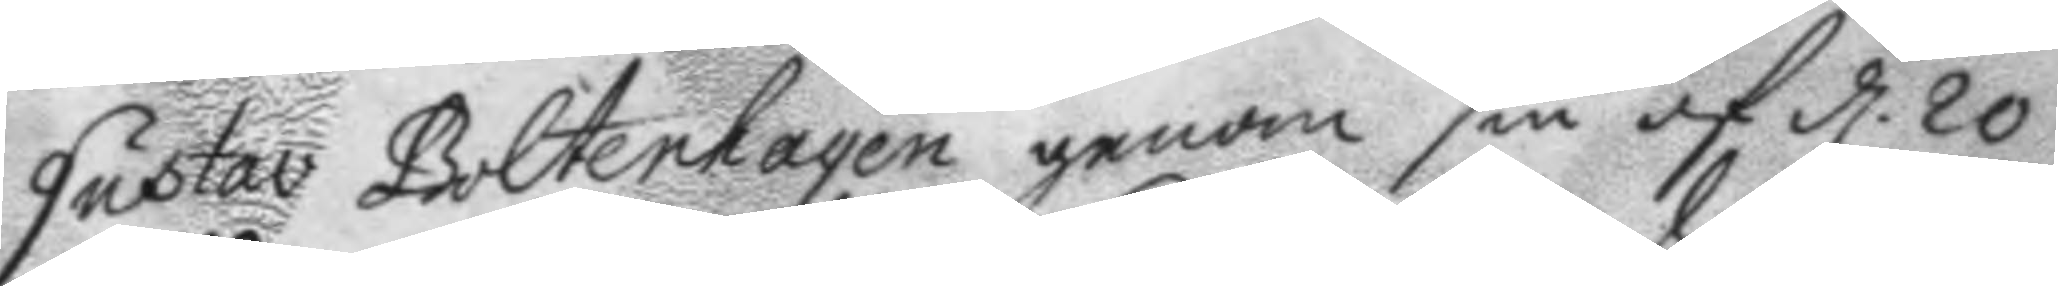Gustav Boltenhagen genom sin af d. 20
